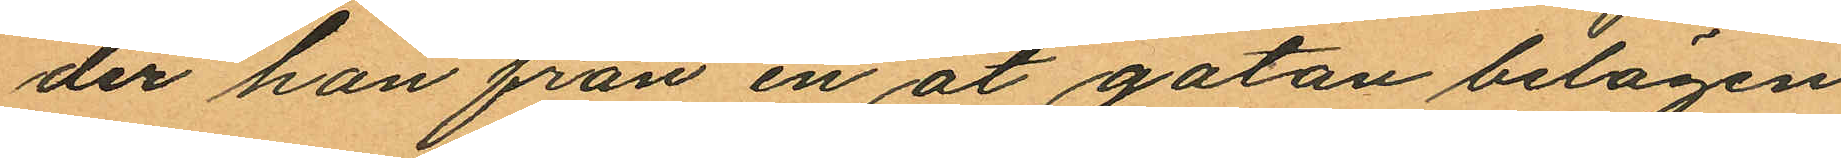der han från en åt gatan belägen
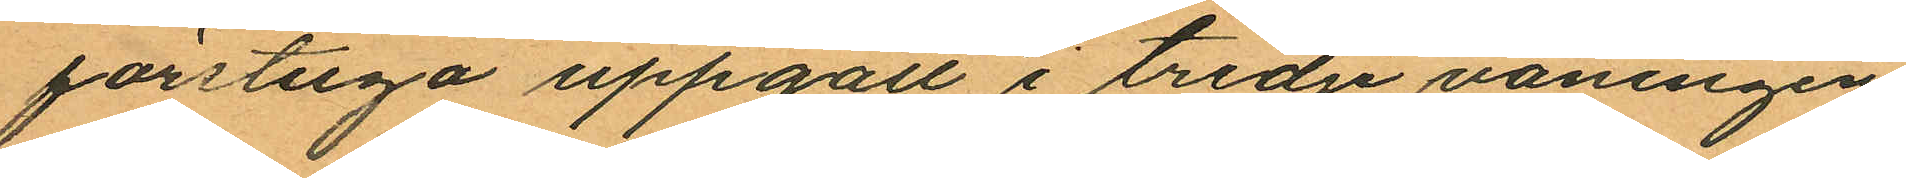förstuga uppgått i tredje våningen,
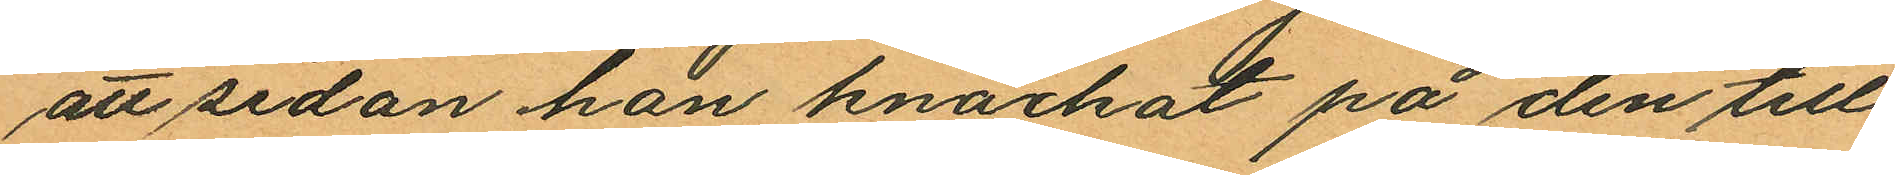att sedan han knackat på den till
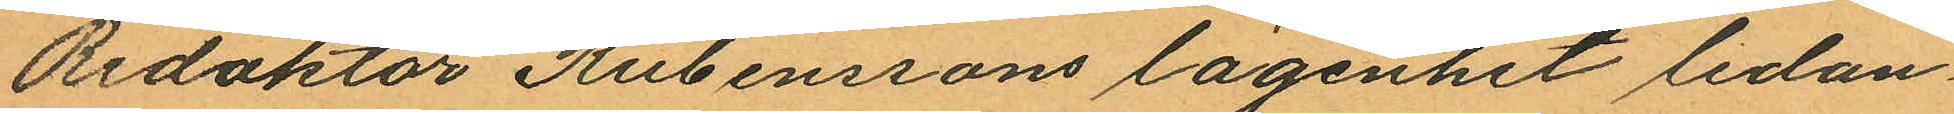Redaktör Rubenssons lägenhet ledan¬
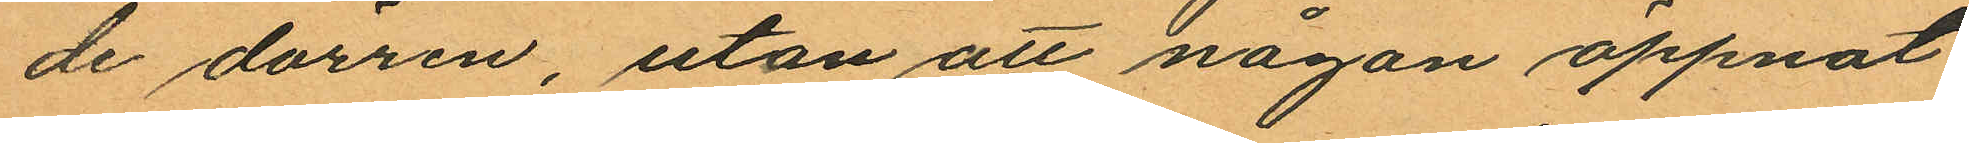de dörren, utan att någon öppnat
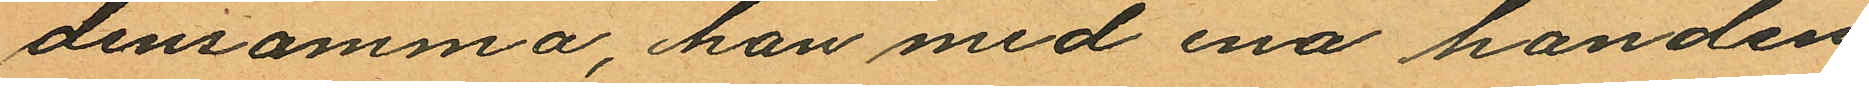densamma, han med ena handen
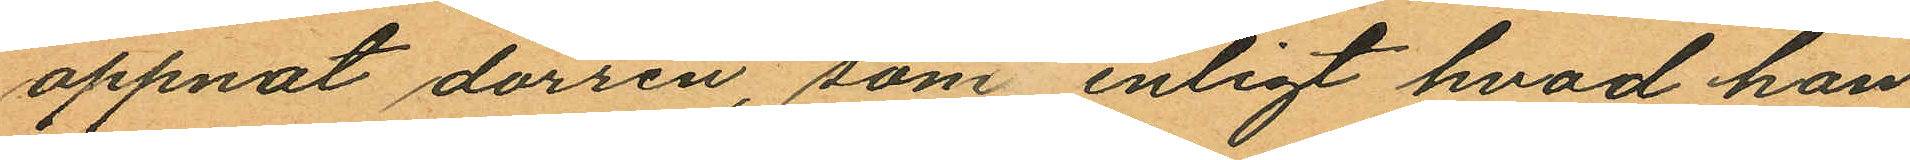oppnat dörren, som enligt hvad han
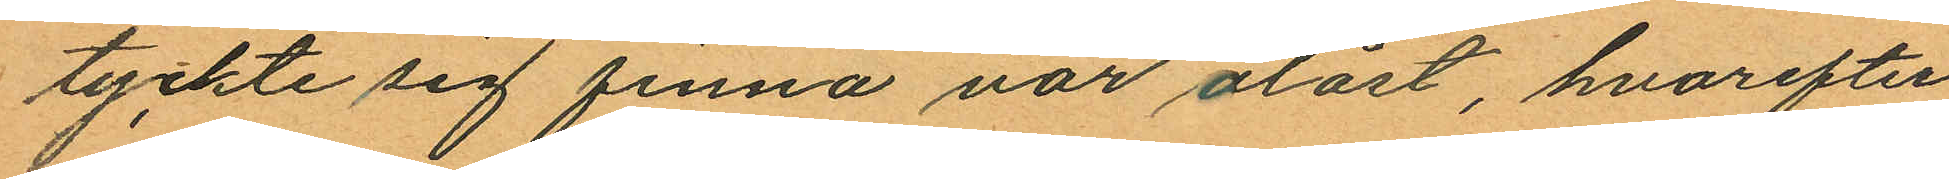tyckte sig finna var olåst, hvarefter
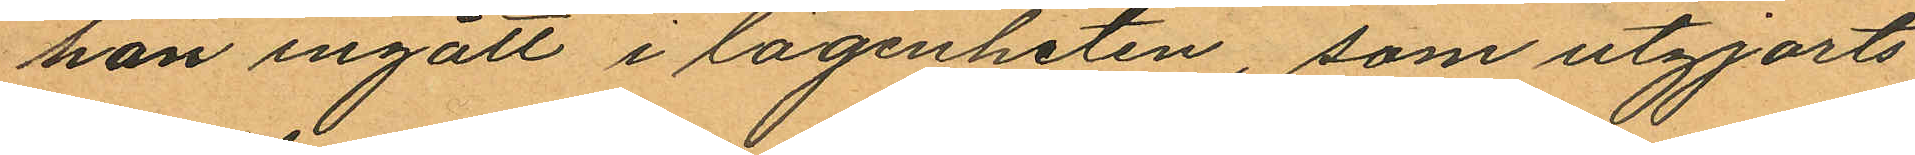han ingått i lägenheten, som utgjorts
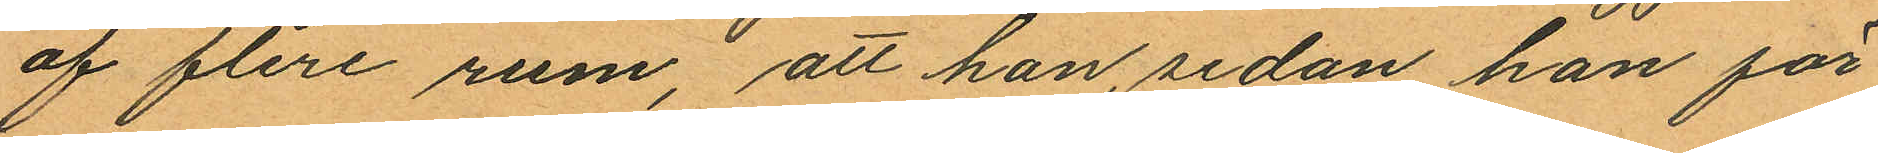af flere rum, att han, sedan han för¬
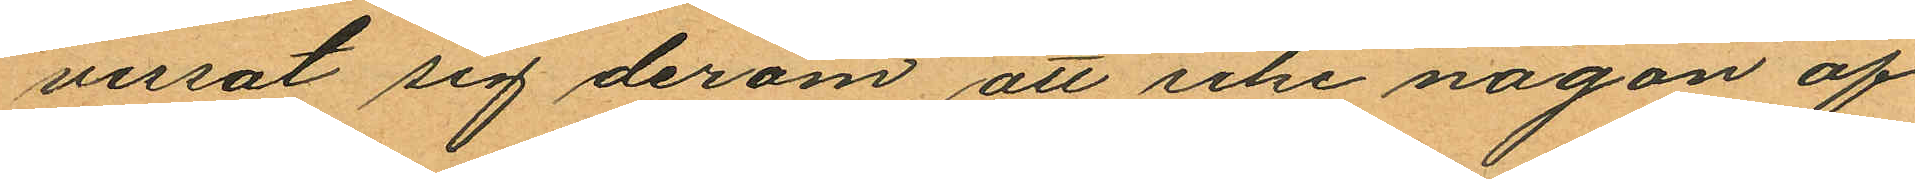vissat sig derom att icke någon af
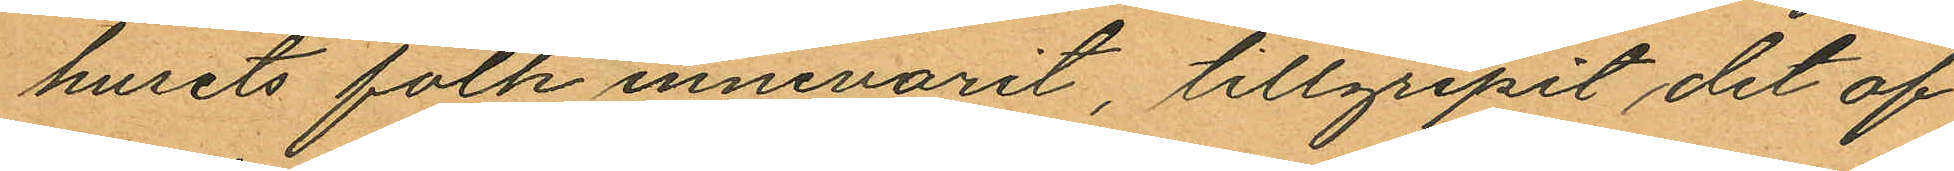husets folk innevarit, tillgripit det af
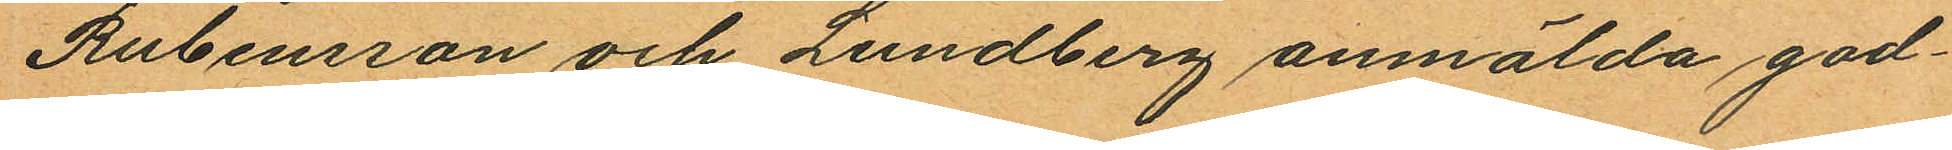Rubensson och Lundberg anmälda god¬
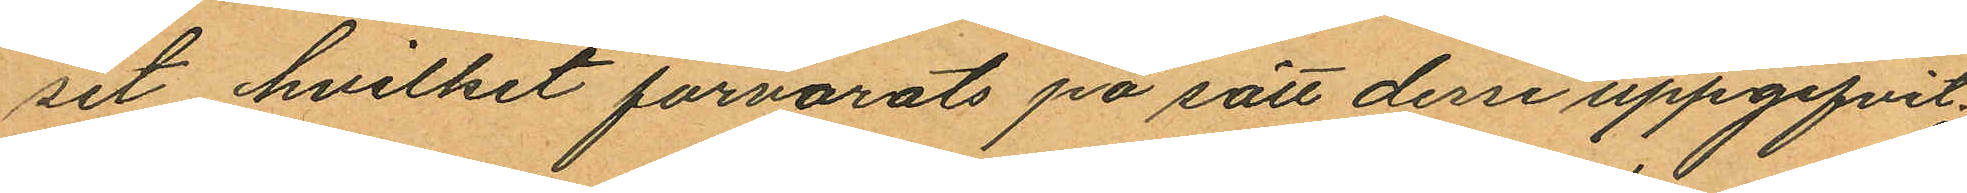set hvilket förvarats på sätt desse uppgifvit;
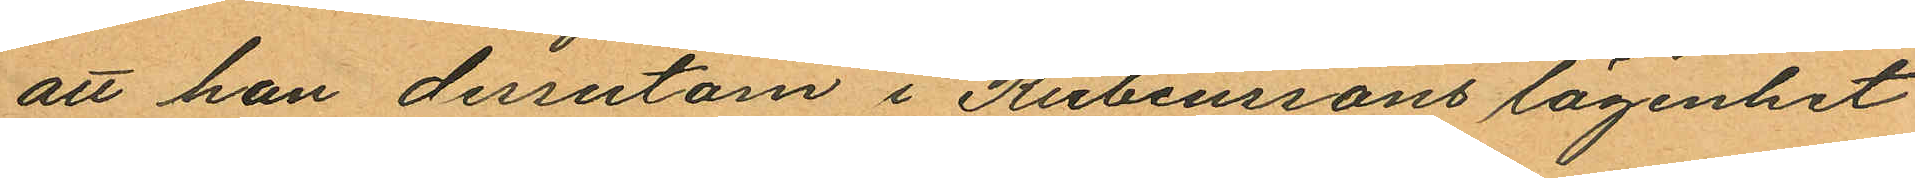att han dessutom i Rubenssons lägenhet
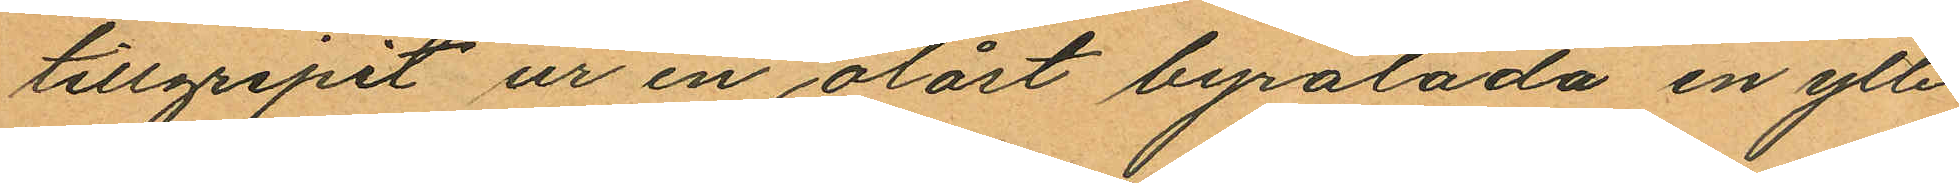tillgripit ur en olåst byrålåda en ylle¬
